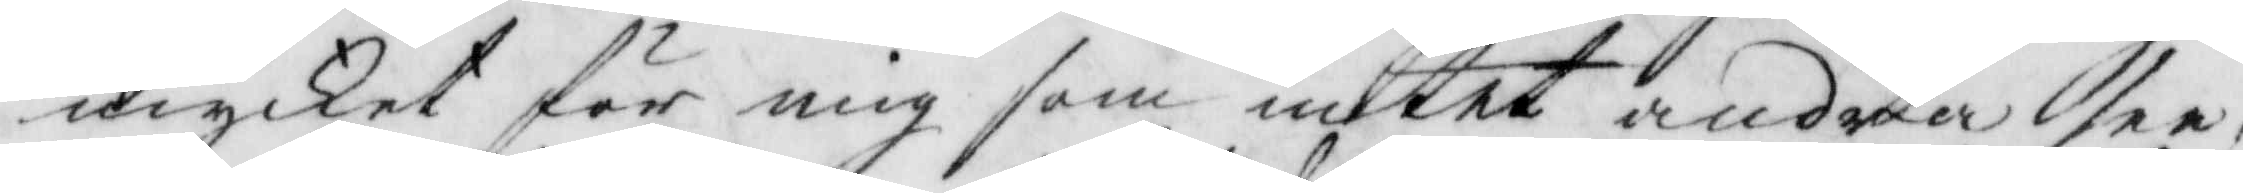mycket för mig som intet andra see,
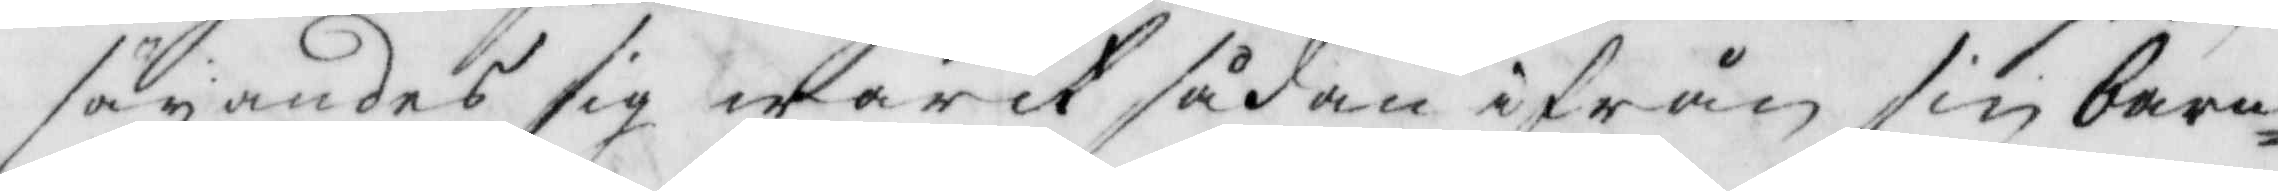säyandes sig warit sådan ifrån sin barn¬
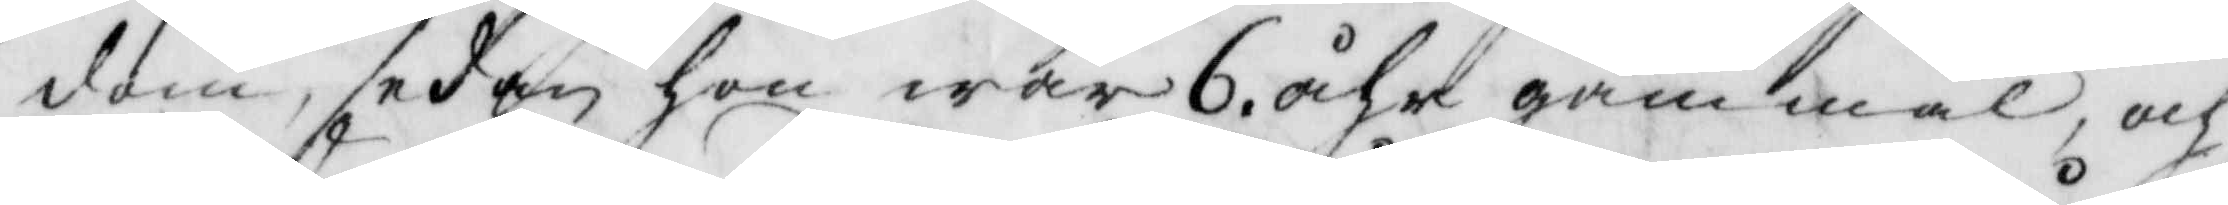dom, sedan hon war 6 åhr gammal, och
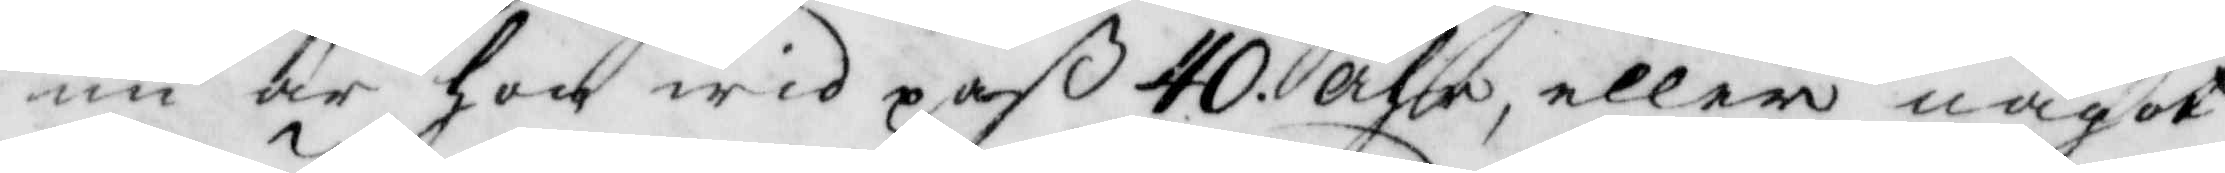nu är hon wid paß 40 åhr, eller något
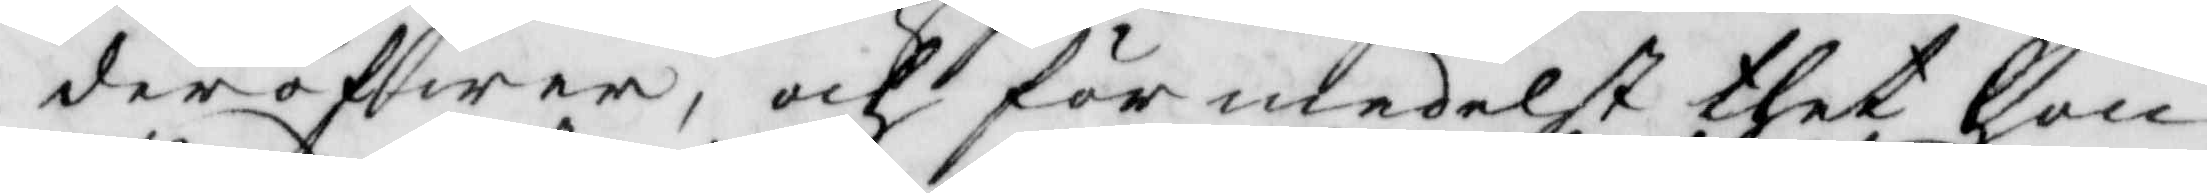deröfwer, och förmedelst thet hon
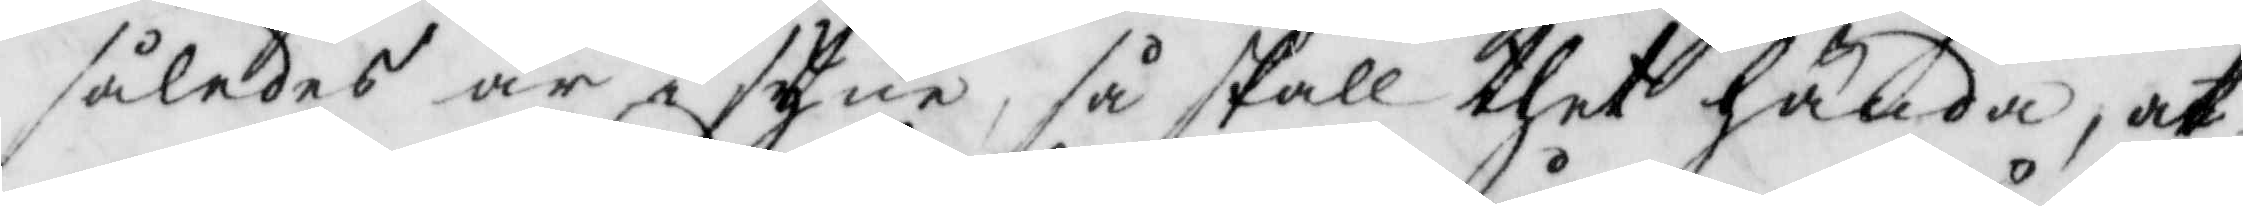således är i syne, så skall thet hända, at
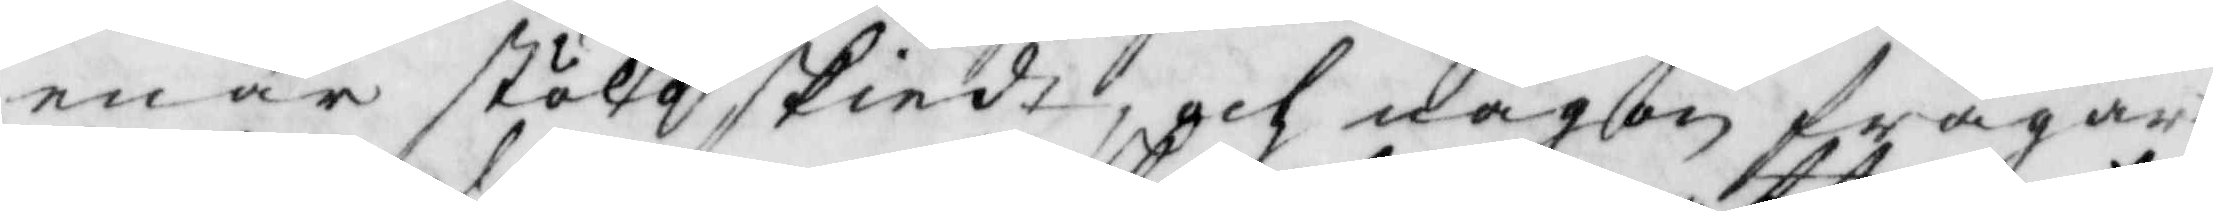enär stöld skiedt, och någon frågar
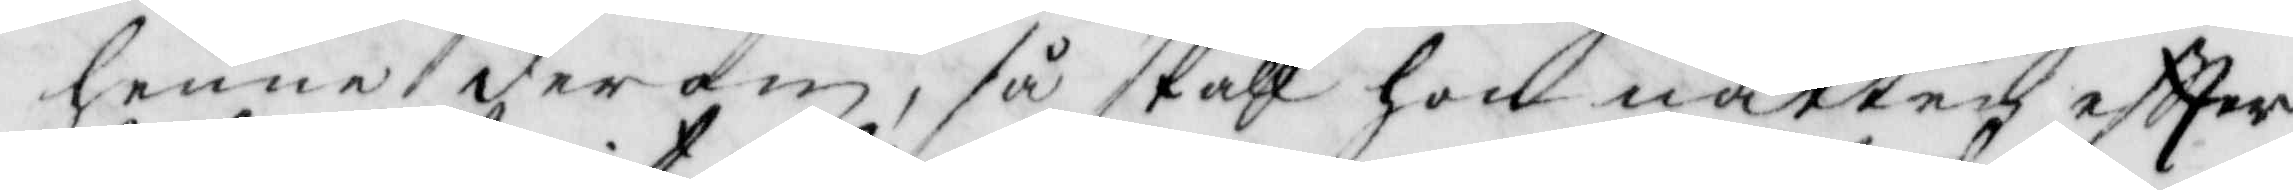henne derom, så skall hon natten eftter
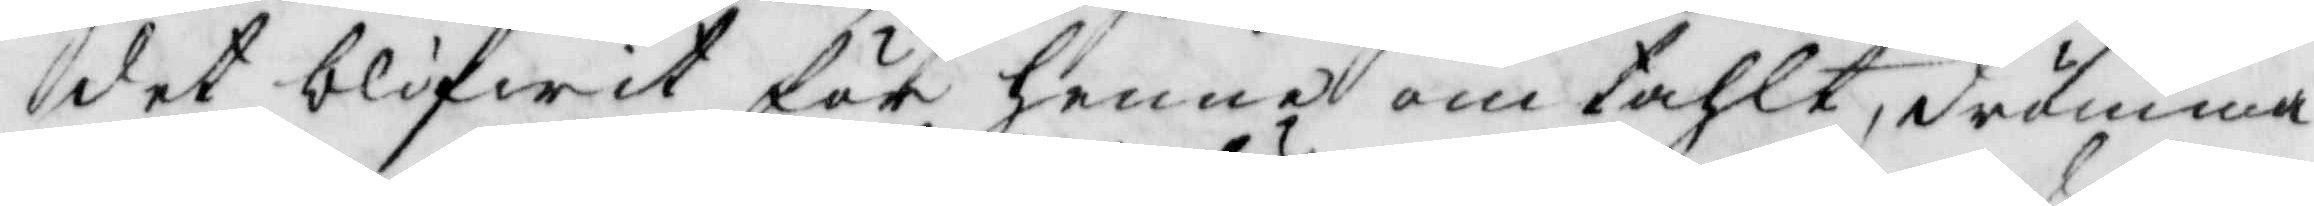det blifwit för henne om tahlt, drömma
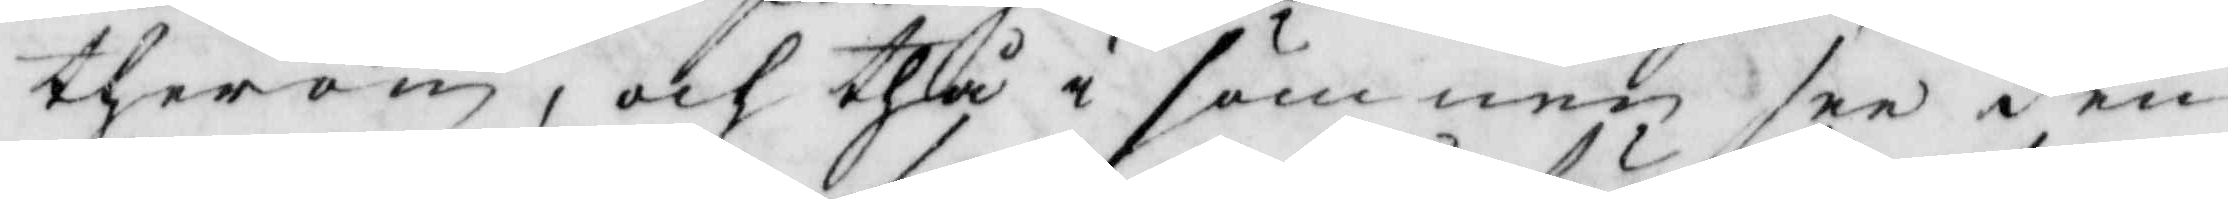therom, och thå i sömnen see den
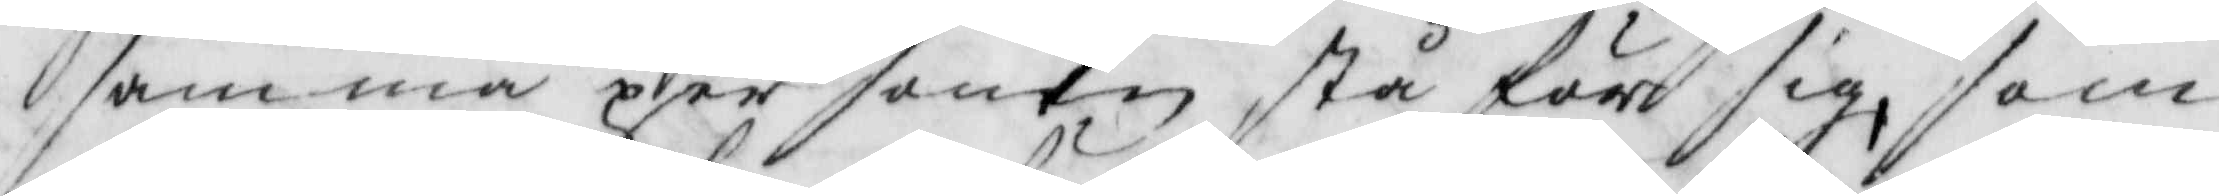samma personen stå för sig, som
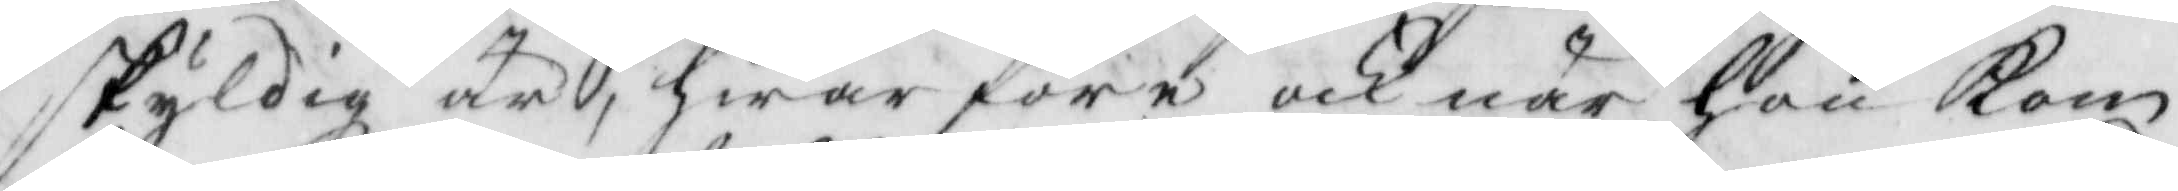skyldig är, hwar före och när hon kom
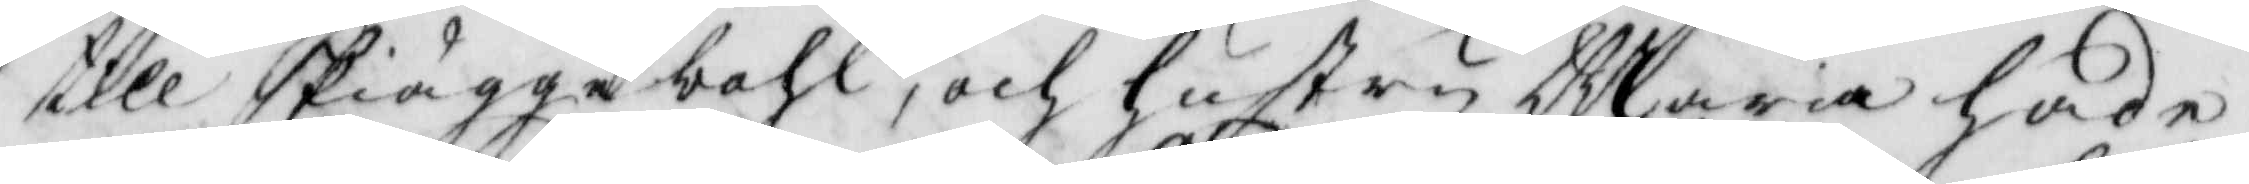till skiäggebohl, och Hustru Maria hade
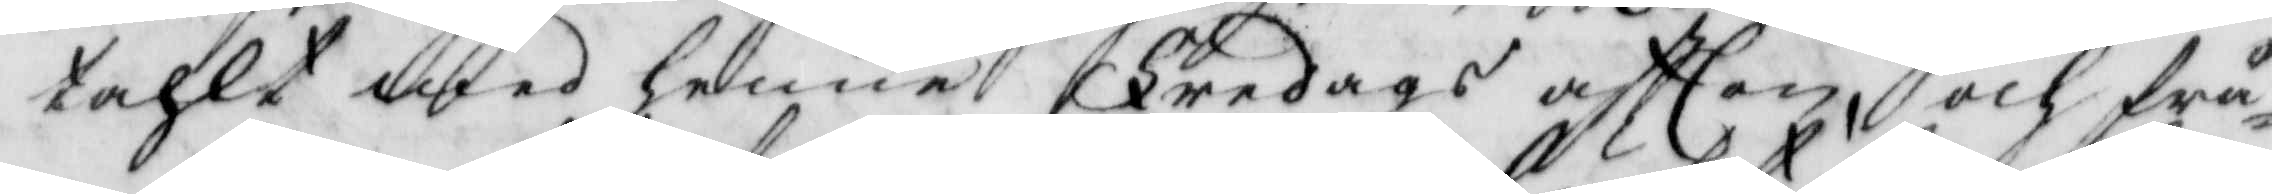tahlt med henne Fredags aftten, och frå¬
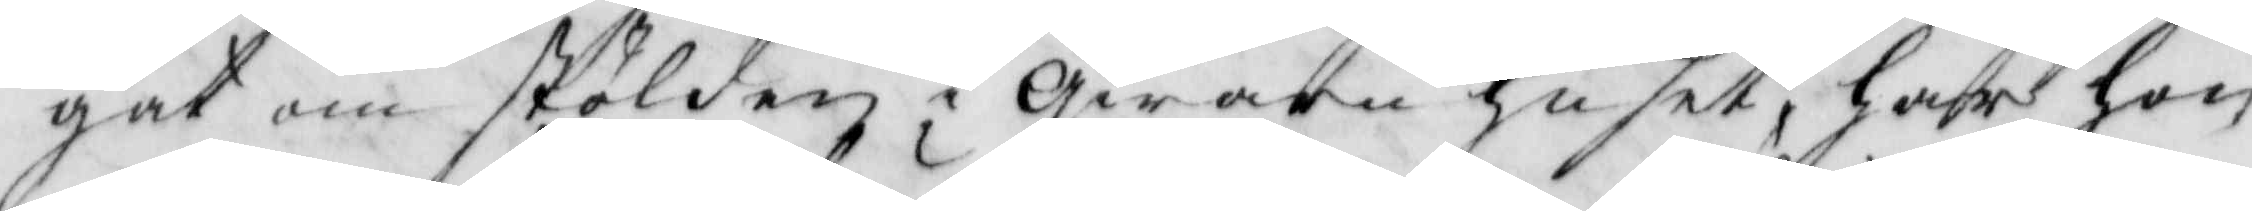gat om stölden qwarn huset, har hon
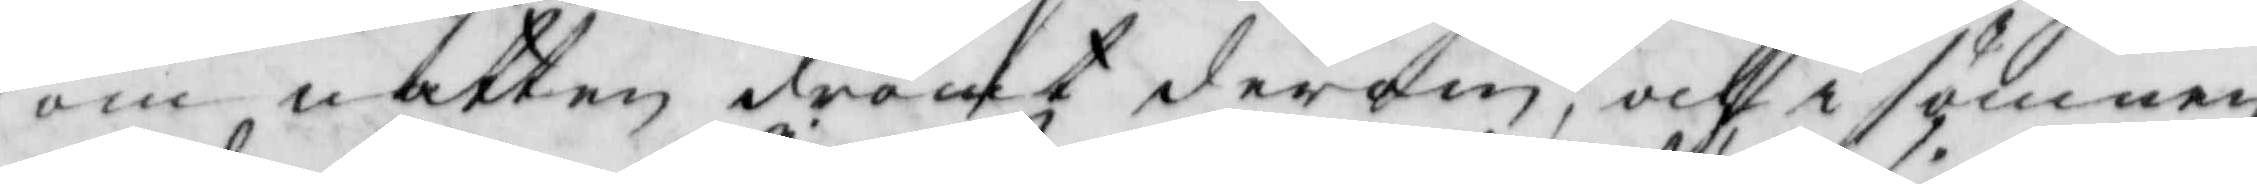om natten droct derom, och i sömnen
